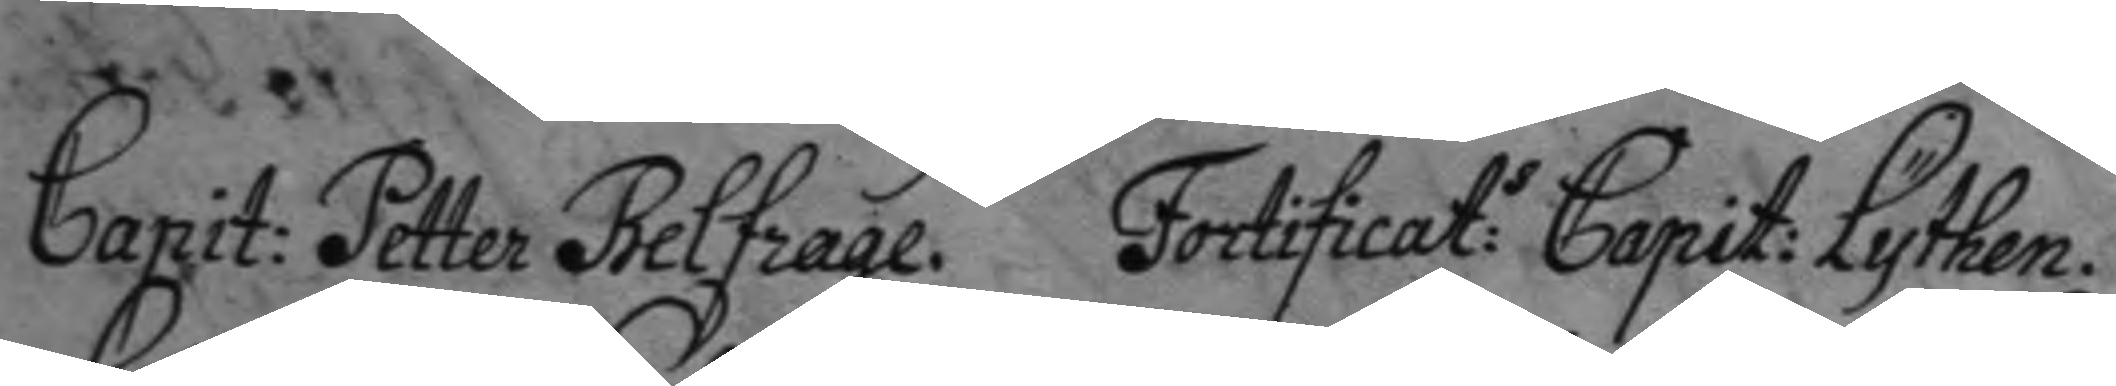Capit: Petter Belfrage. Fortificat:s Capit: Lythen.
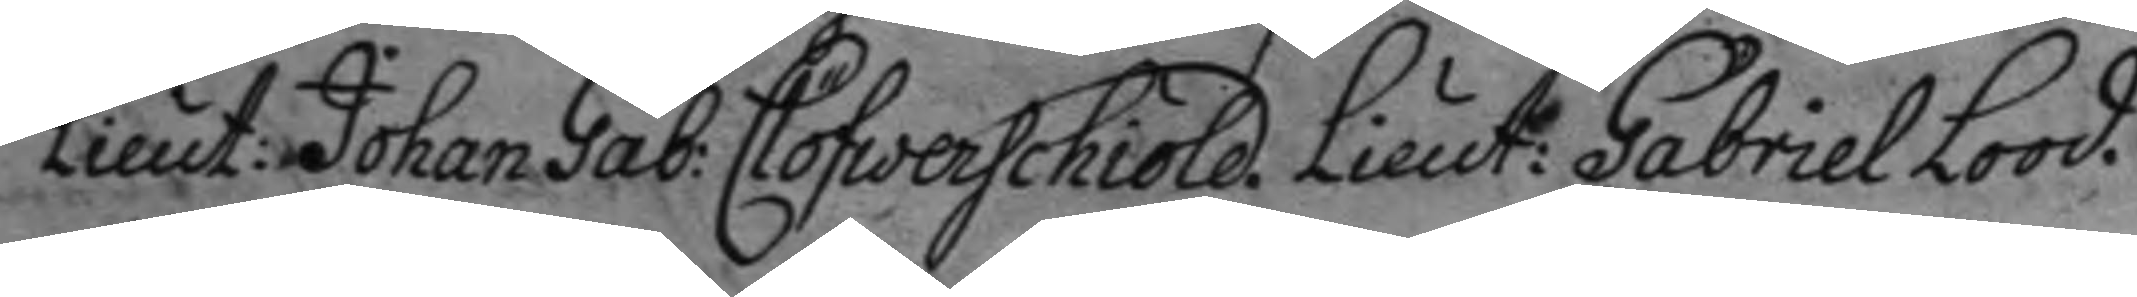Lieut: Johan Gab: Clöfwerschiöld. Lieut: Gabriel Lood.
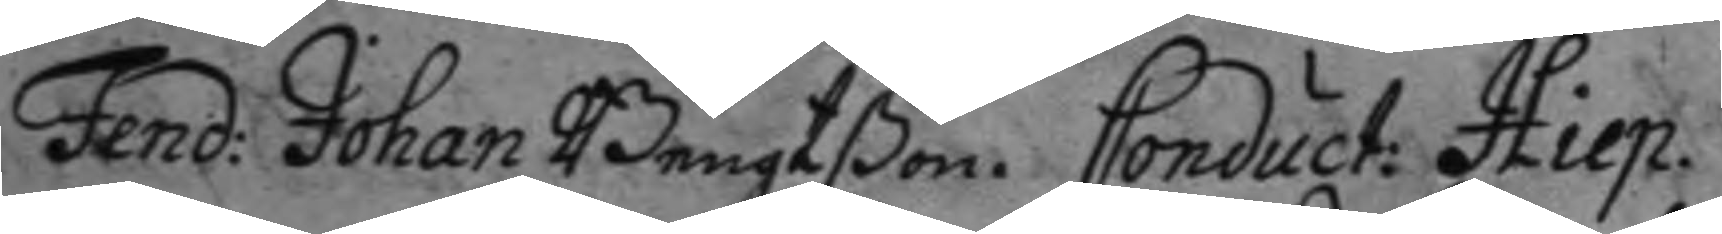Fend: Johan Bengtßon. Conduct: Hiep.
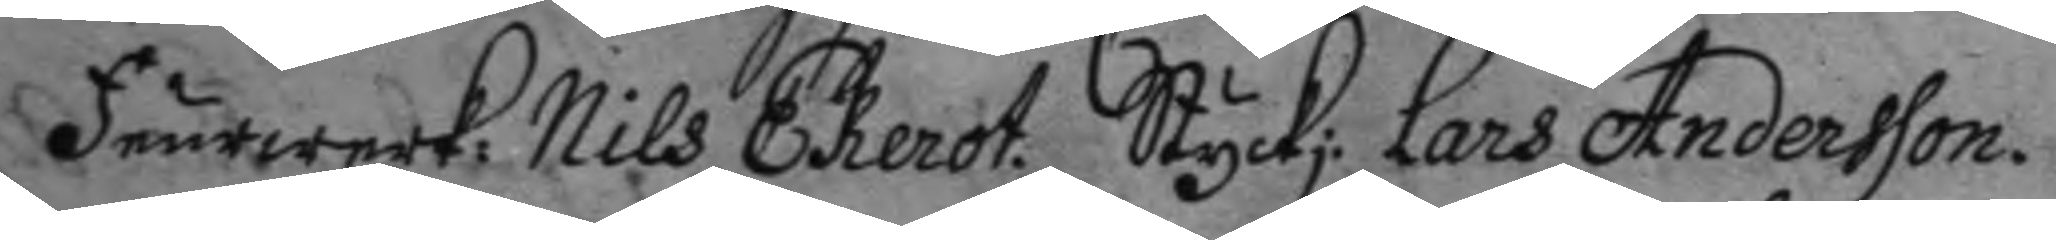feurwerk: Nils Ekerot. Styckj: Lars Andersson.
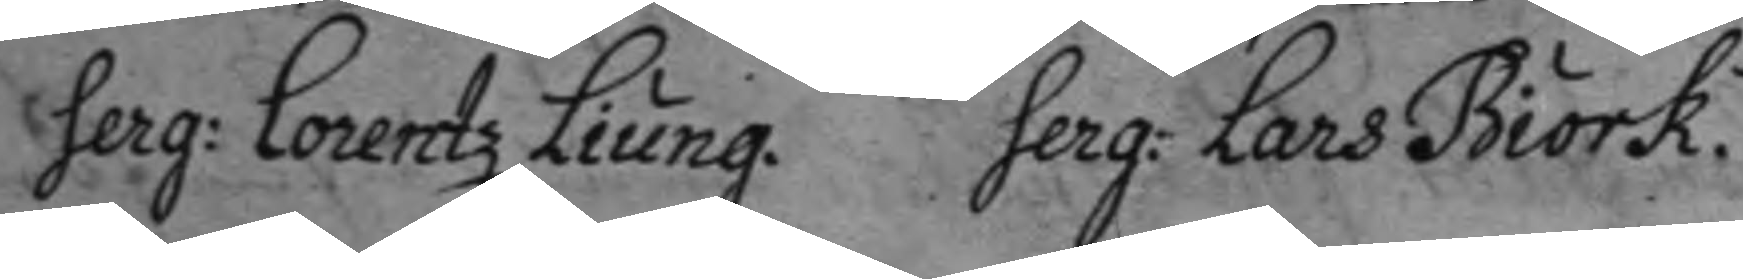Serg: Lorentz Liung. Serg: Lars Biörk.
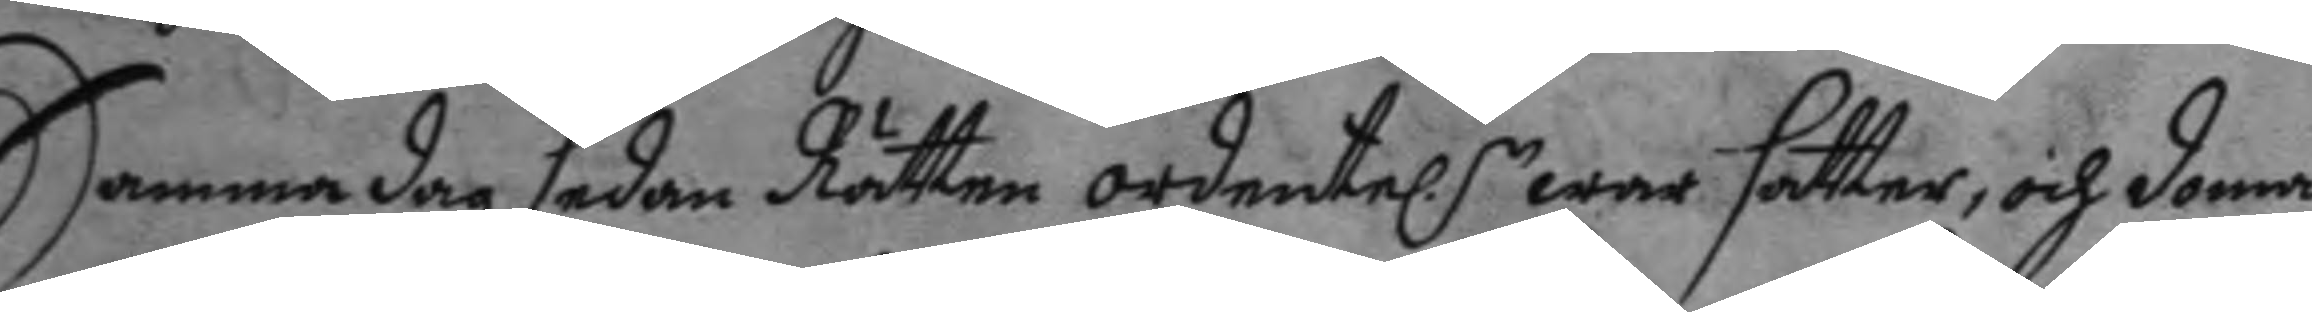Samma dag sedan Rätten ordentel.n war satter, och doma¬
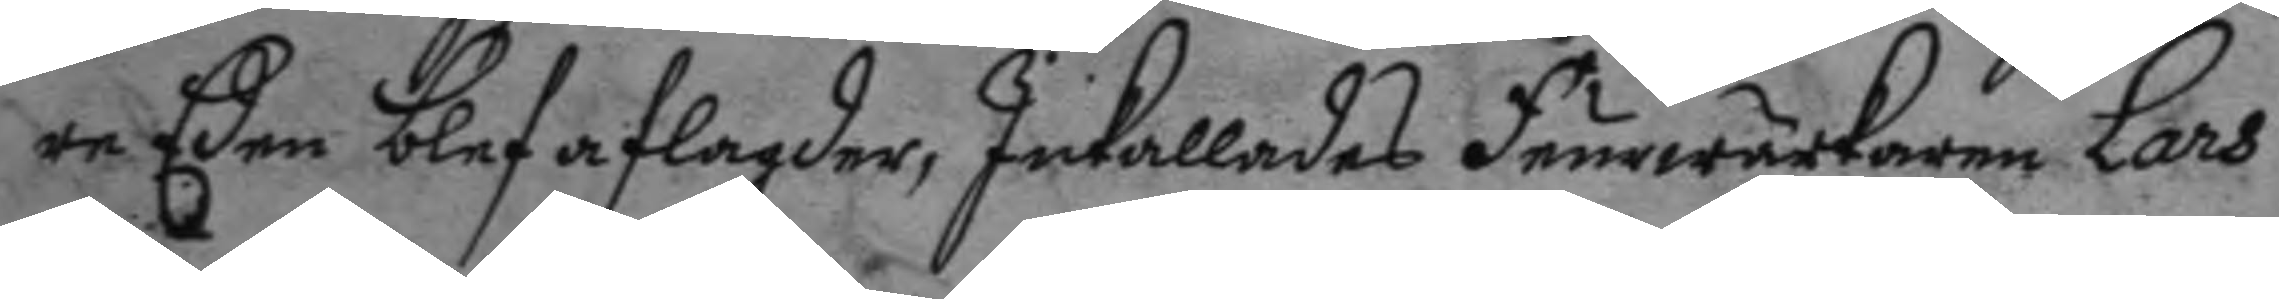re Eden blef aflagder, Inkallades feurwärkaren Lars
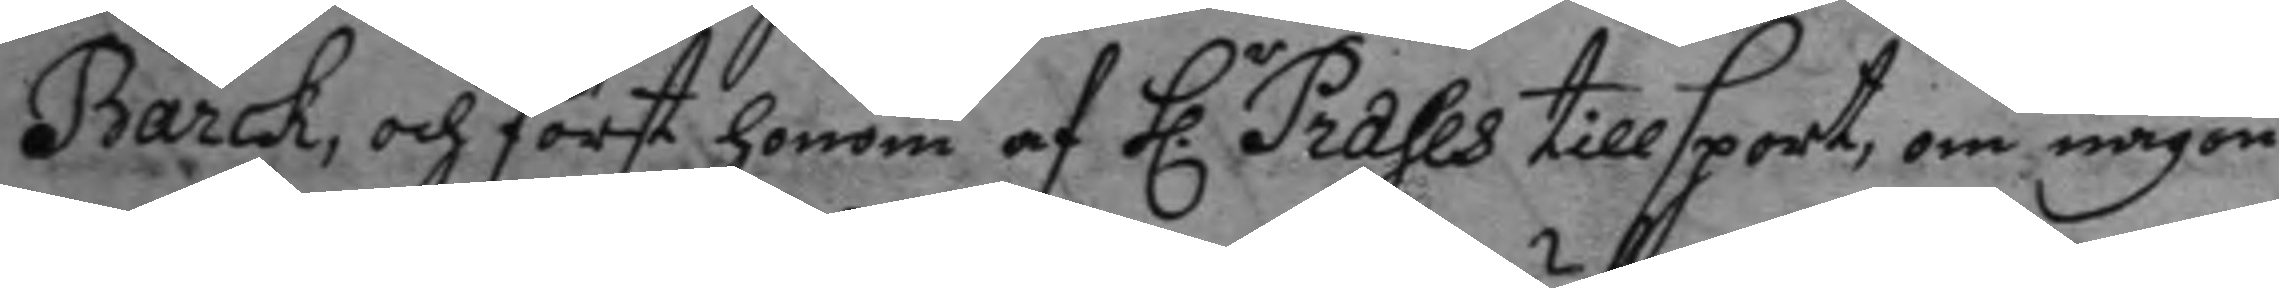Barck, och först honom af h.r Præses tillsport om någon
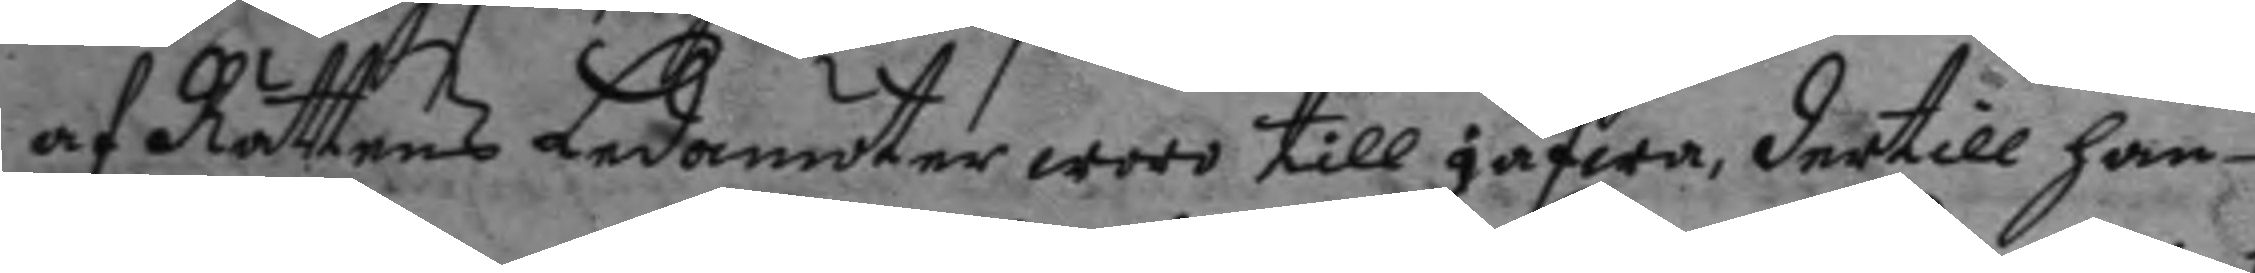af Rättens Ledamöter woro till gäfwa, dertill han
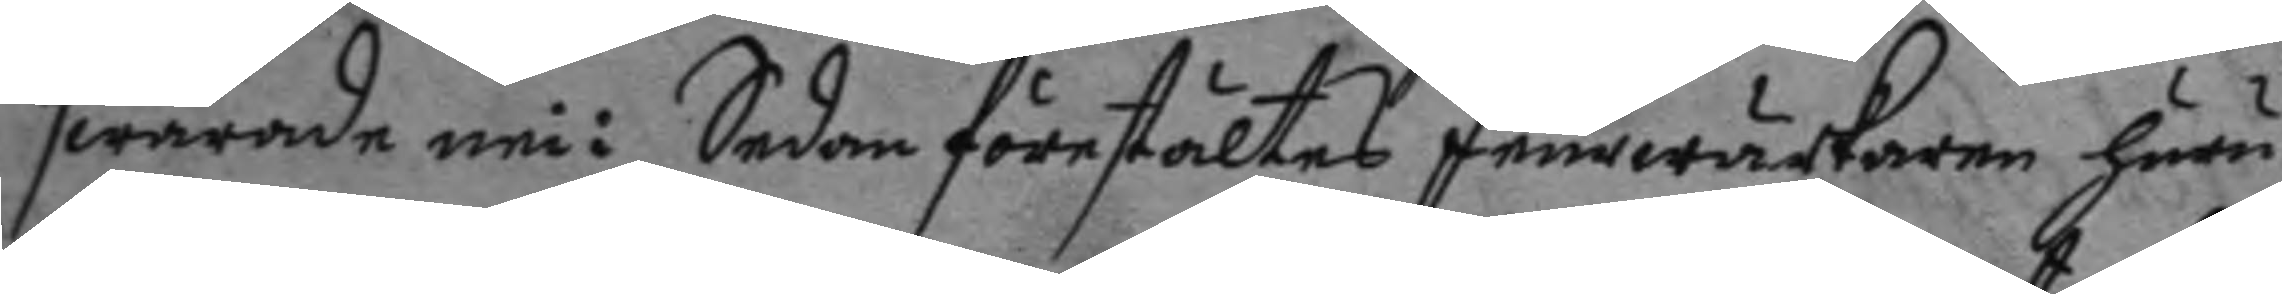swarade nei: Sedan förestältes feurwärkaren huru
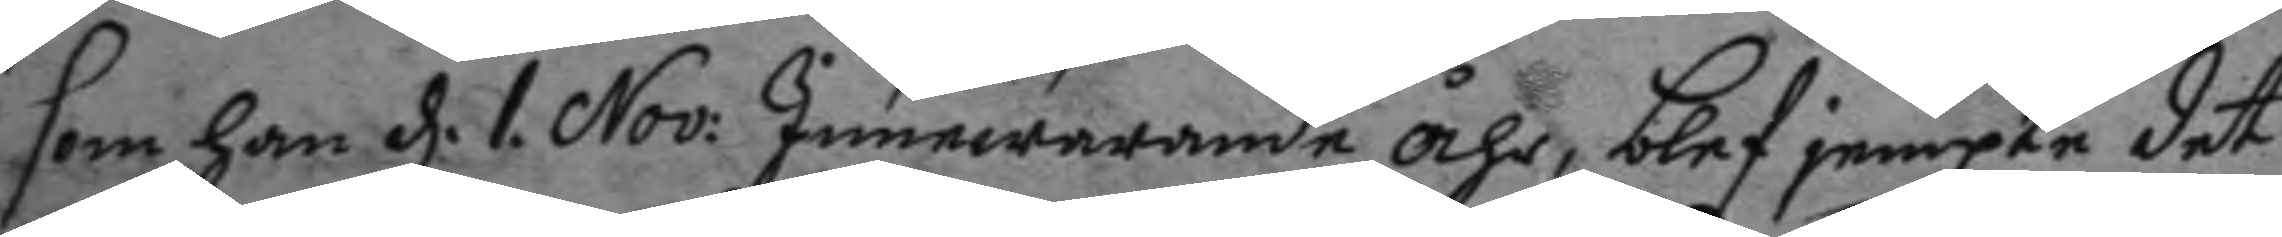som han d. 1. Nov: Innewarnade åhr, blef jempte det
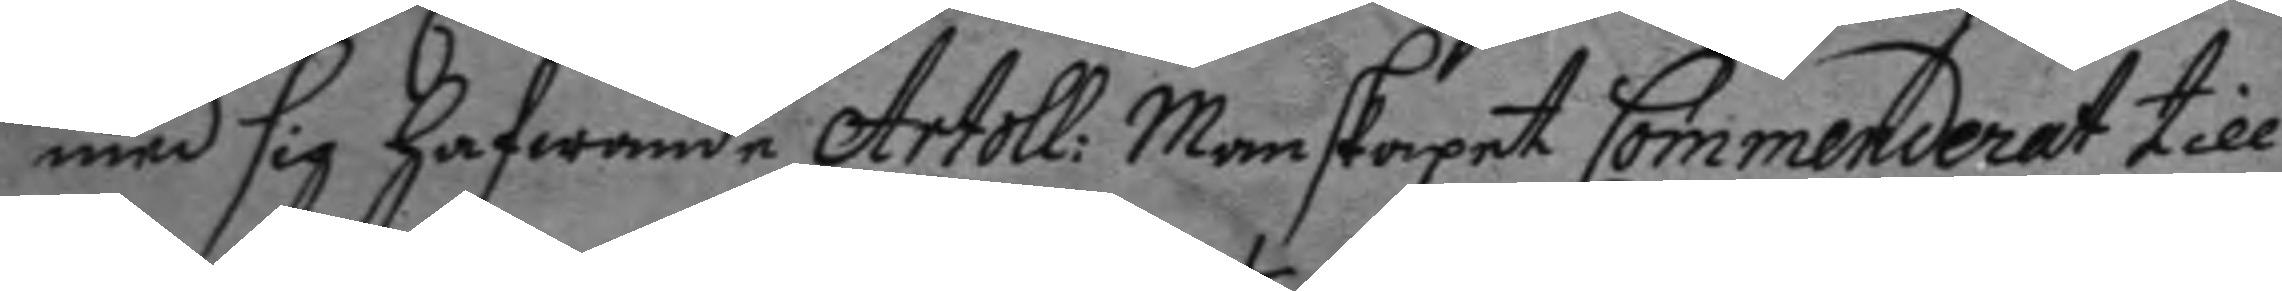med sig hafwande Artoll: manskapet Commenderat till
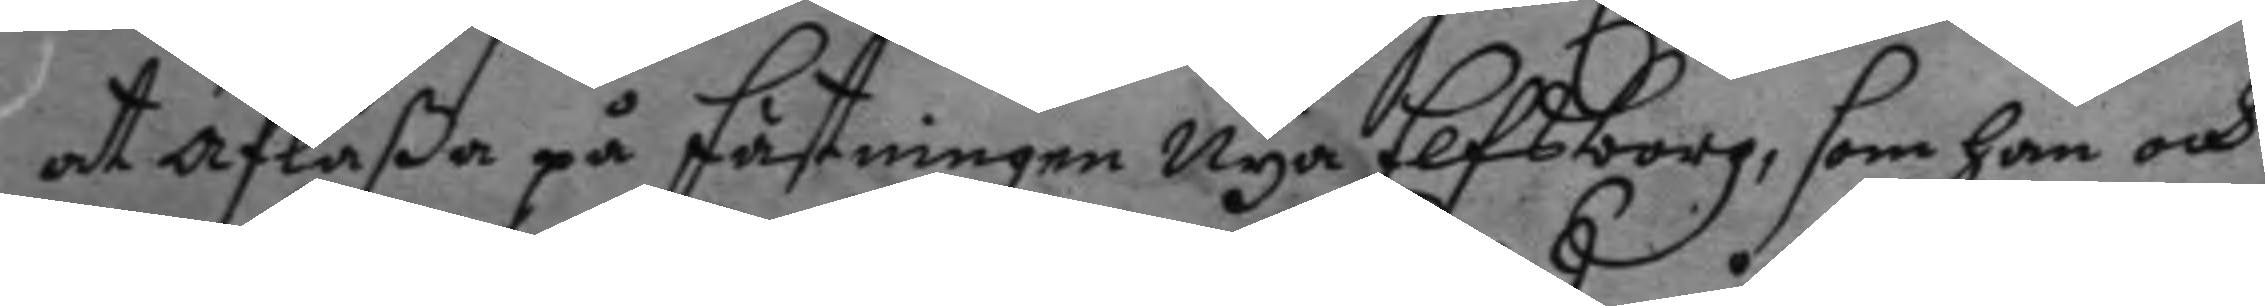at aflåßa på fästningen Nya Elfsborg; som han och
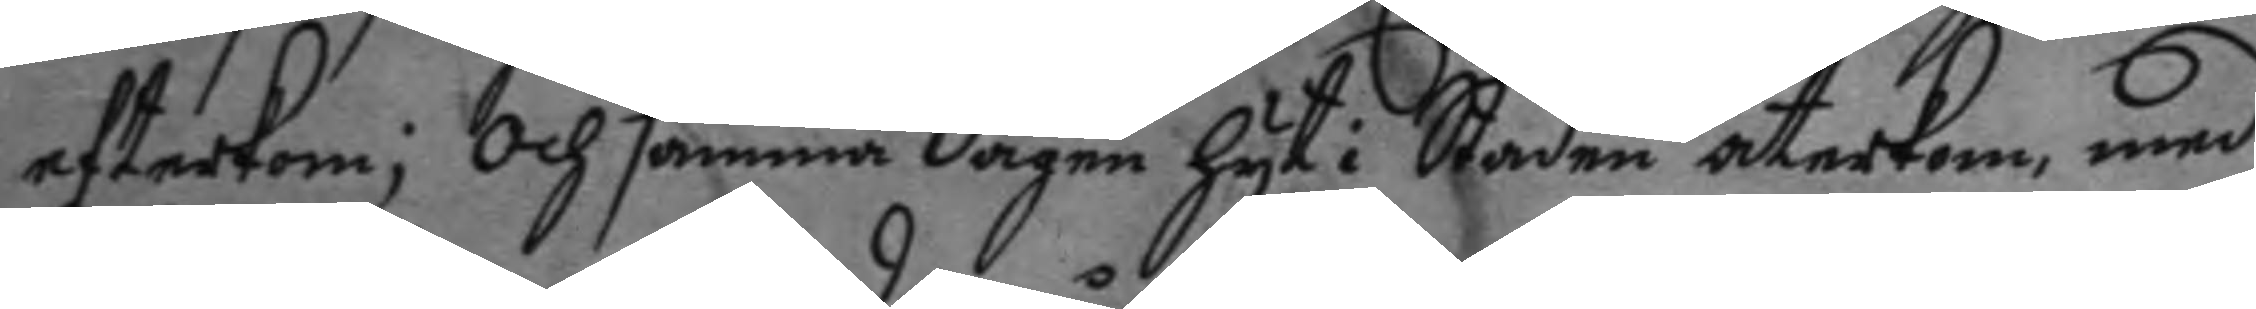efterkom; och samma dagen hyt i Staden återkom, med
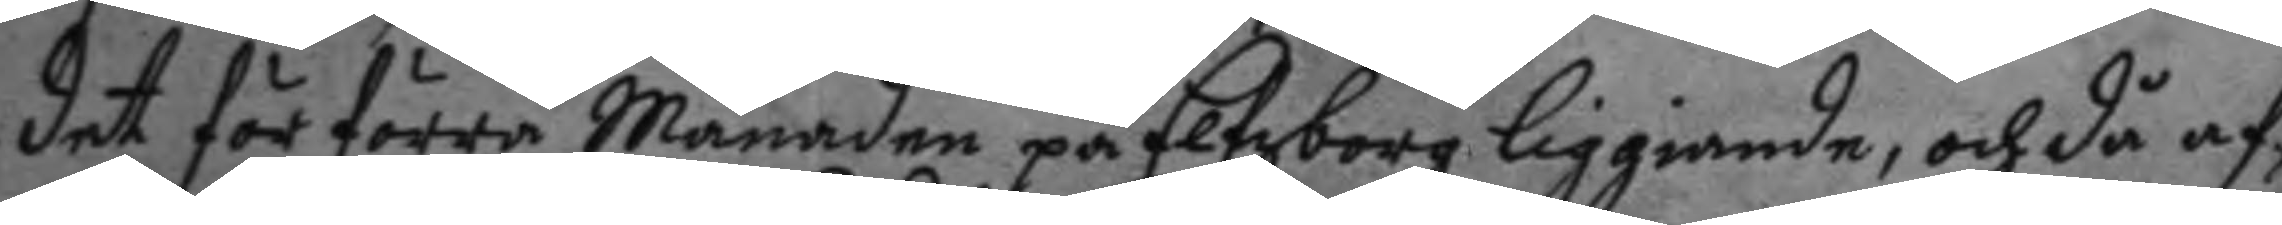det för förra Månaden på Elfsborg liggiande, och då af¬
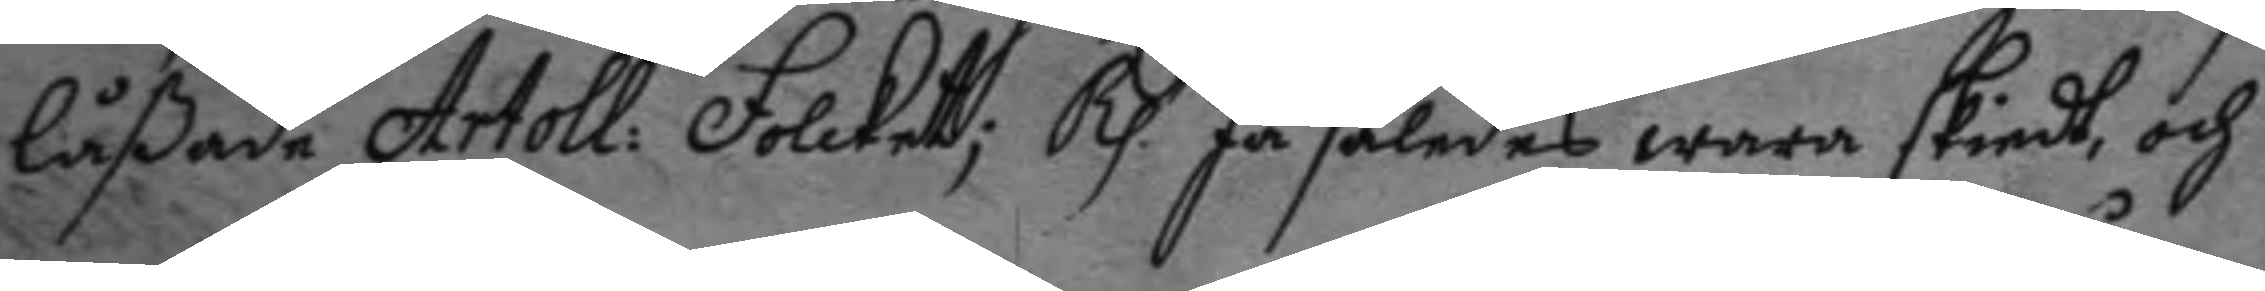låßade Artoll: Folcket; Rp. Ja således wara skiedt och
